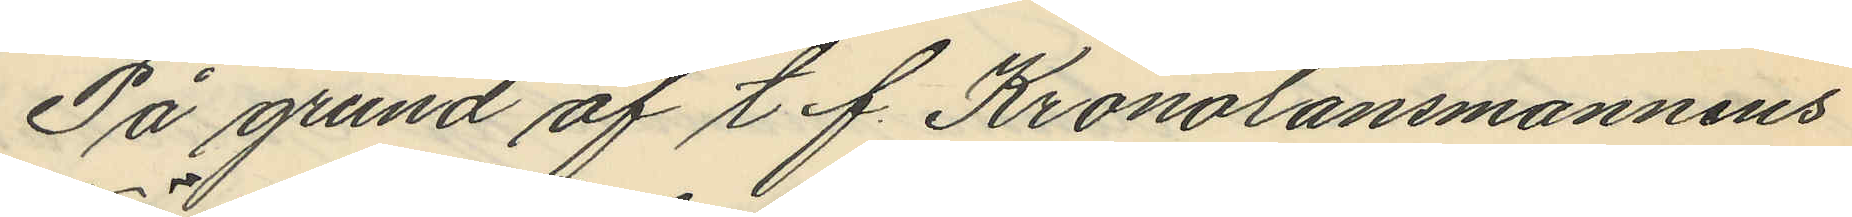På grund af t. f. Kronolänsmannens
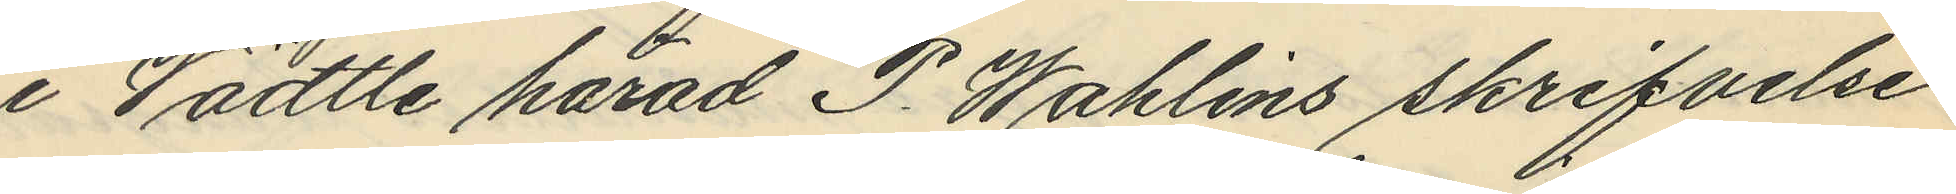i Vädtle härad P. Wahlins skrifvelse
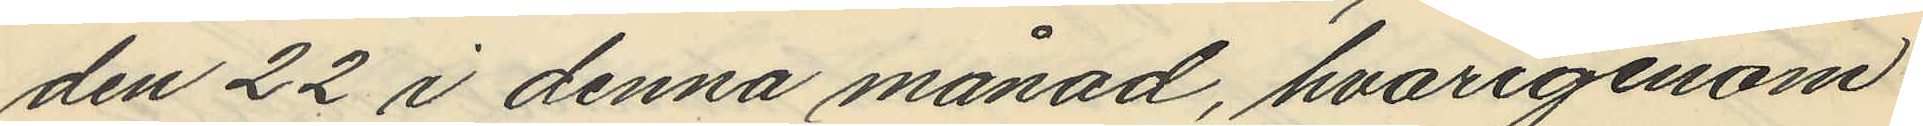den 22 i denna månad, hvarigenom
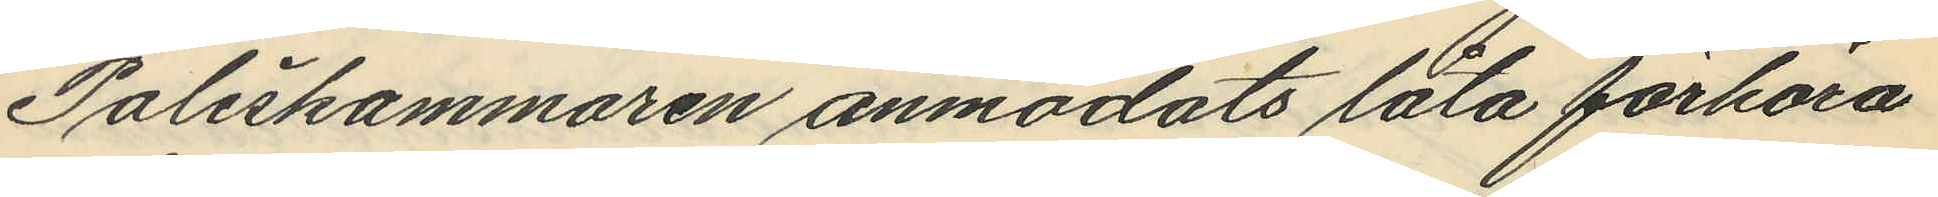Poliskammaren anmodats låta förhöra
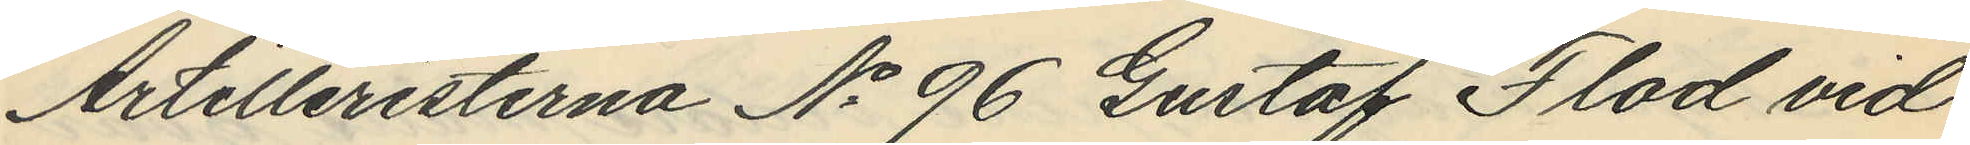Artilleristerna No 96 Gustaf Flod vid
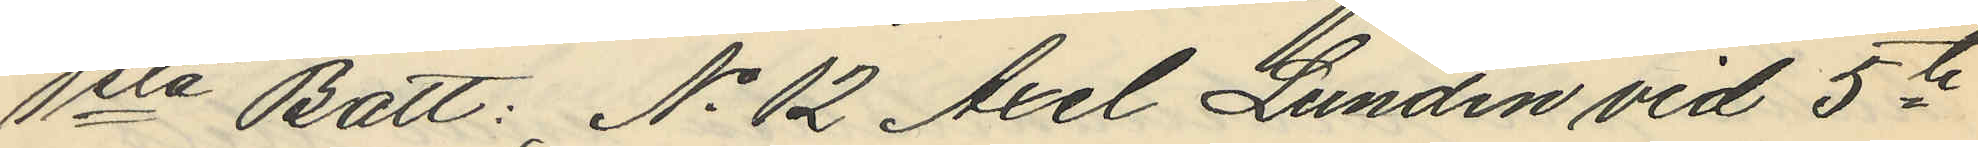1sta Batt: No 12 Axel Lundin vid 5te
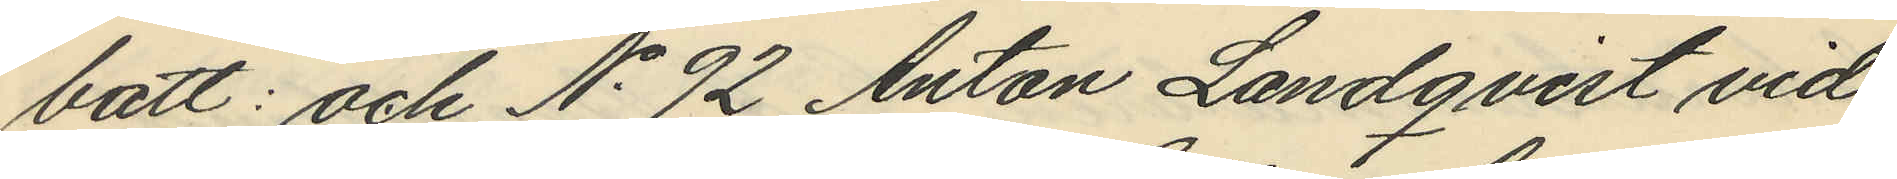batt: och No 92 Anton Landqvist vid
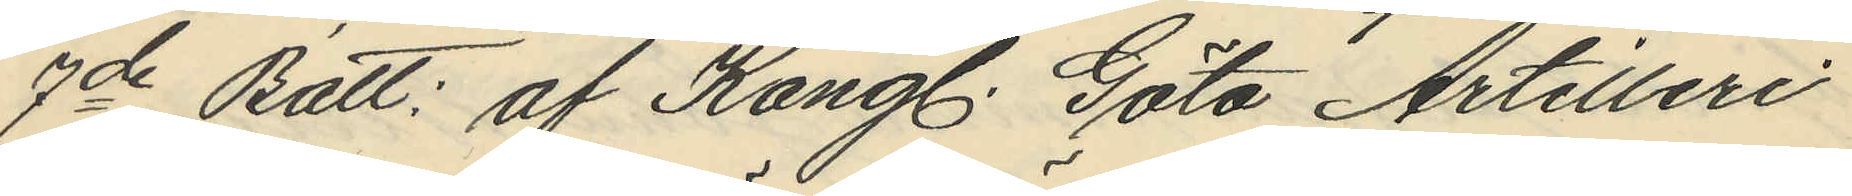7de Batt: af Kongl. Göta Artilleri
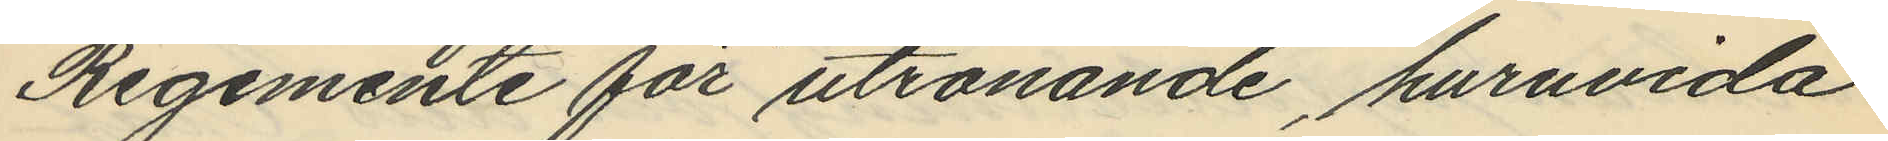Regemente för utrönande huruvida
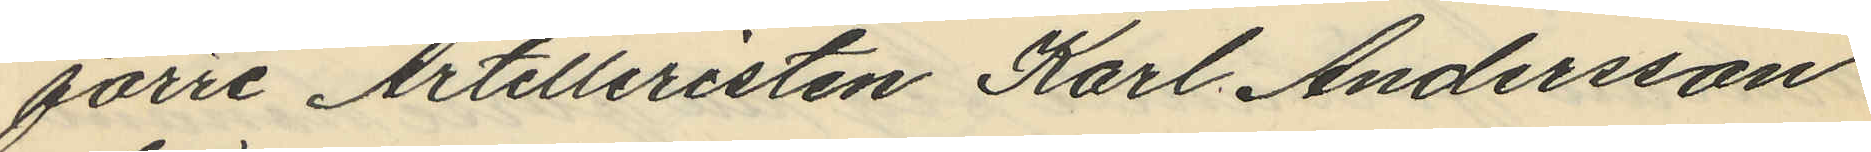förre Artilleristen Karl Andersson
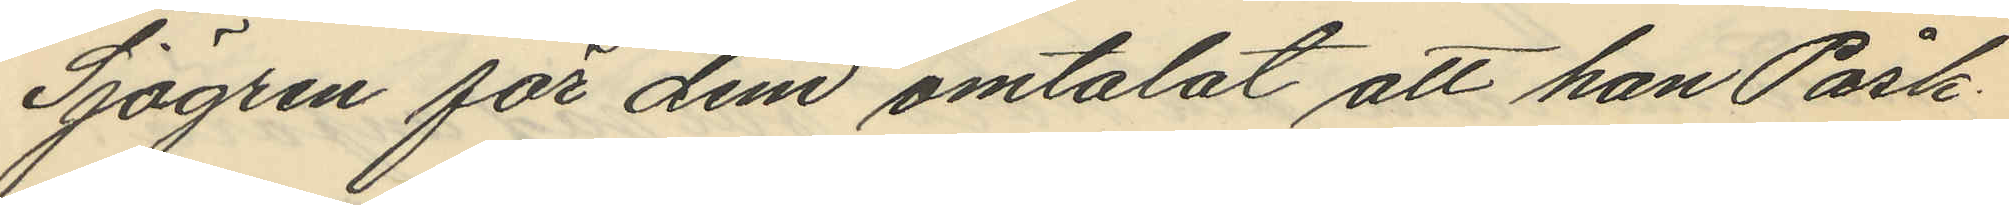Sjögren för dem omtalat att han Påsk¬
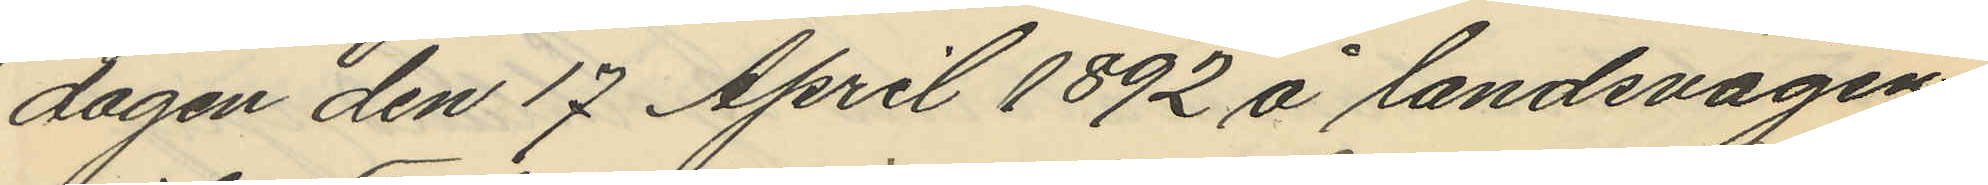dagen den 17 April 1892 å landsvägen
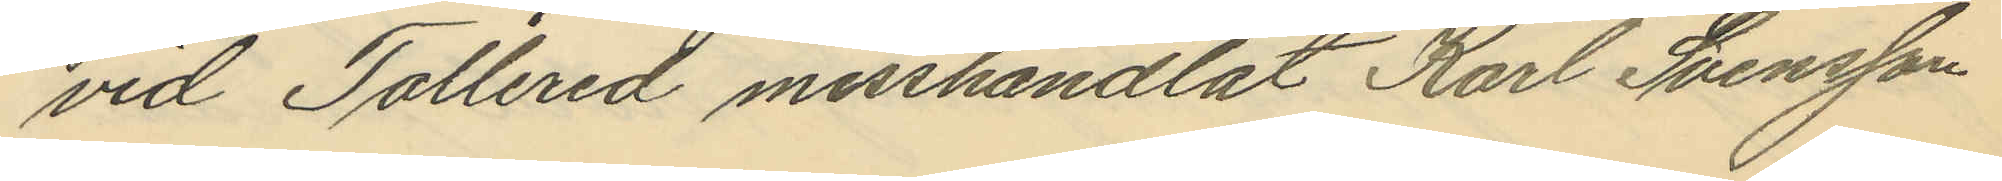vid Tollered misshandlat Karl Svensson
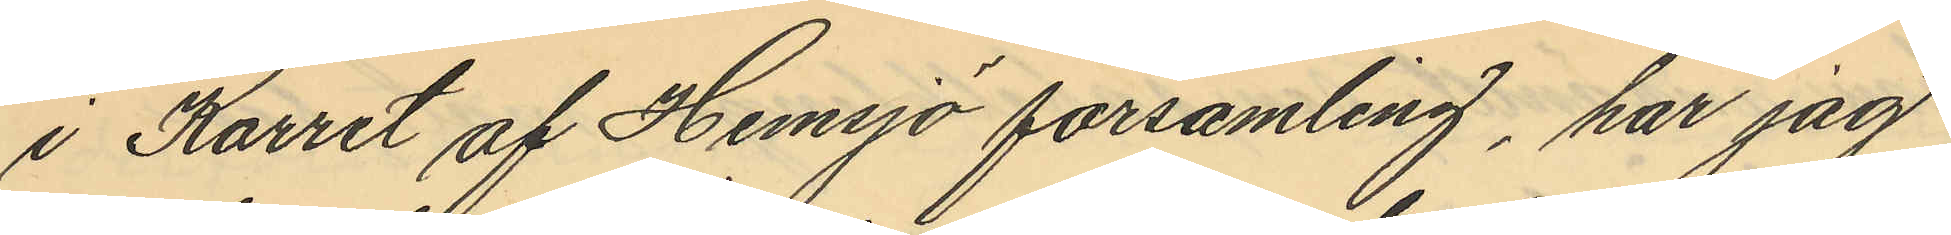i Karret af Hemsjö församling, har jag
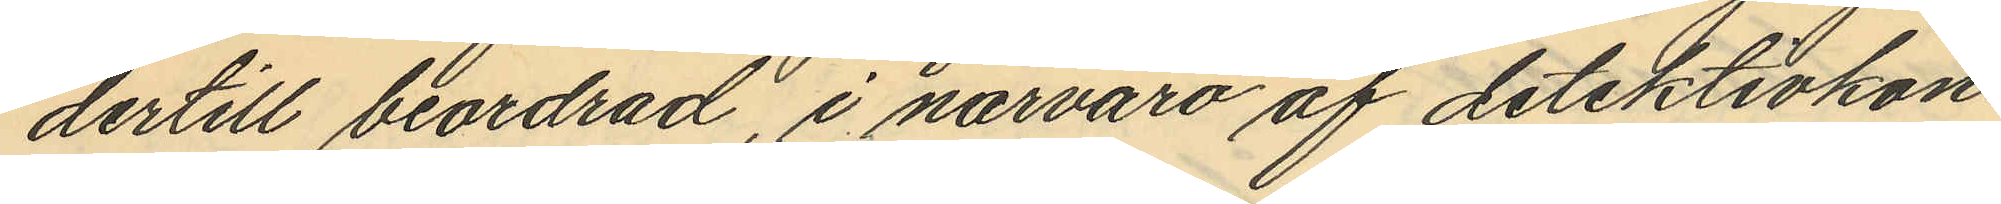dertill beordrad, i närvaro af detektivkon¬
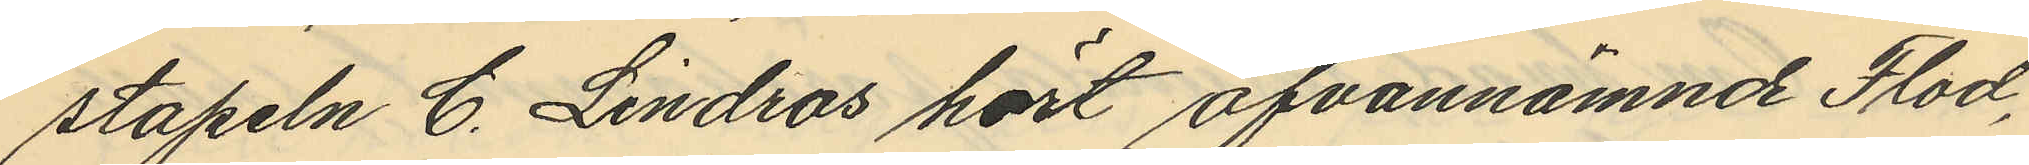stapeln C. Lindros hört ofvannämnde Flod,
